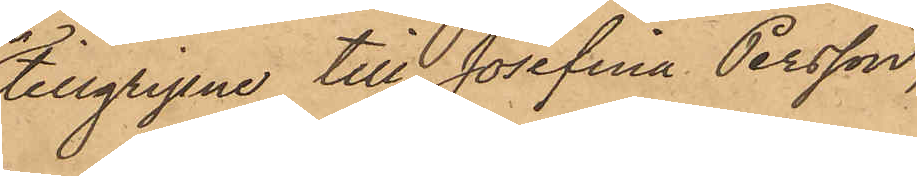tillgripne till Josefina Persson,
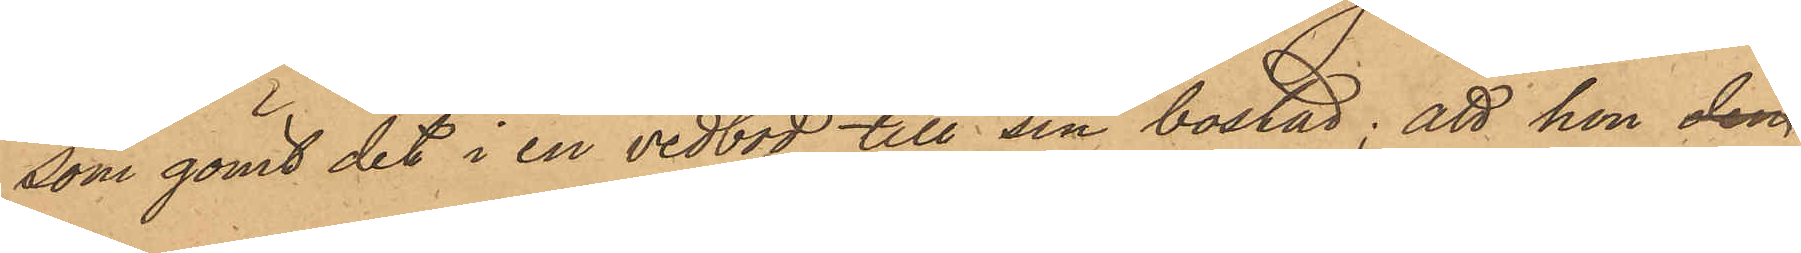som gömt det i en vedbod till sin bostad; att hon den
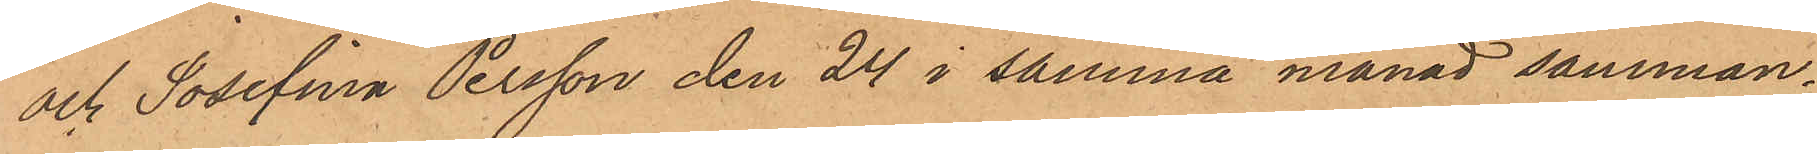och Josefina Persson den 24 i samma månad samman¬
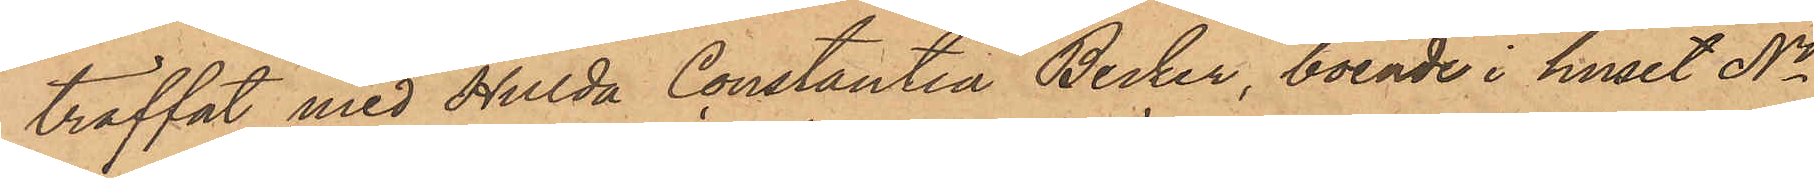träffat med Hulda Constantia Becker, boende i huset No
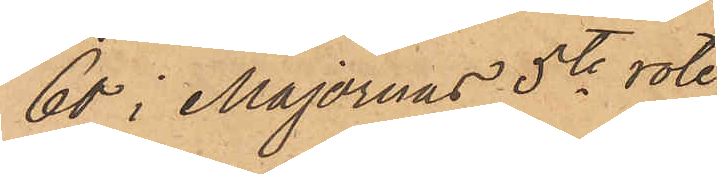60 i Majornas 5te rote
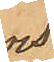och
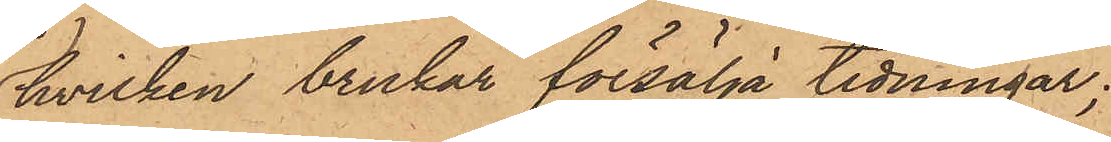hvilken brukar försälja tidningar;
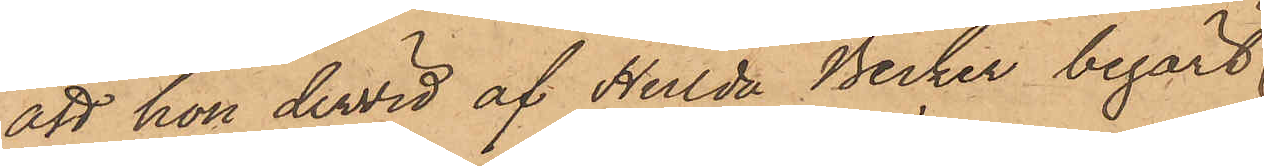att hon dervid af Hulda Becker begärt
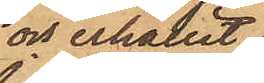och erhållit
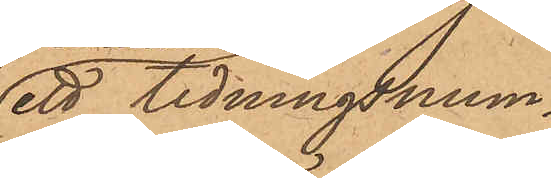ett tidningsnum¬
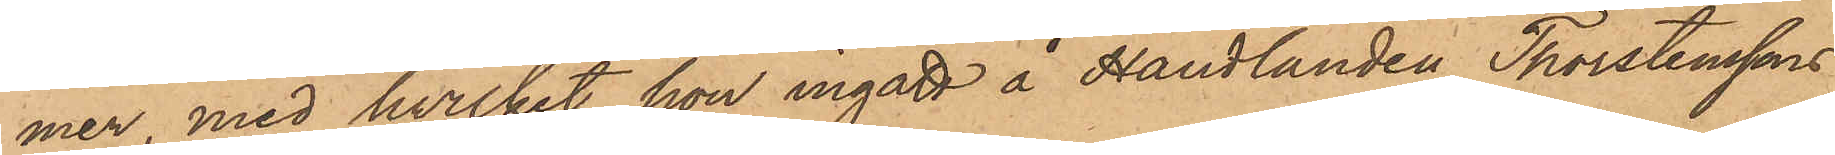mer, med hvilket hon ingått å Handlanden Thorstenssons
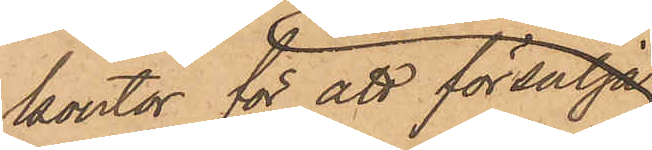kontor för att försälja
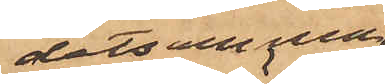detsamma;
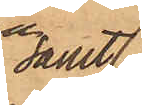samt
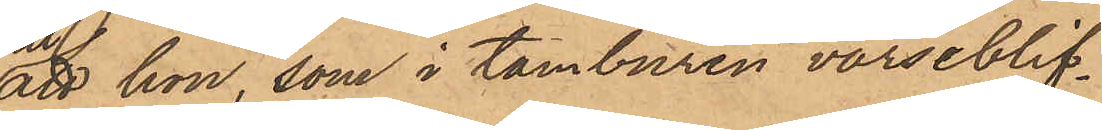att hon, som i tamburen varseblif¬
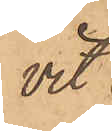vit
